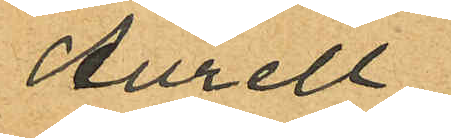Aurell
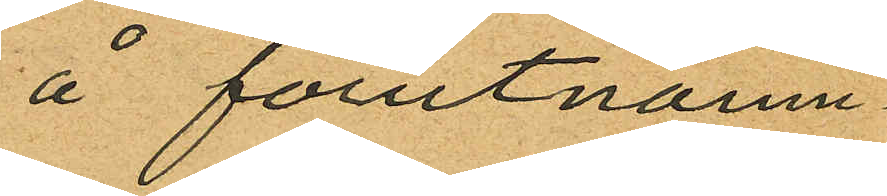å förutnämn¬
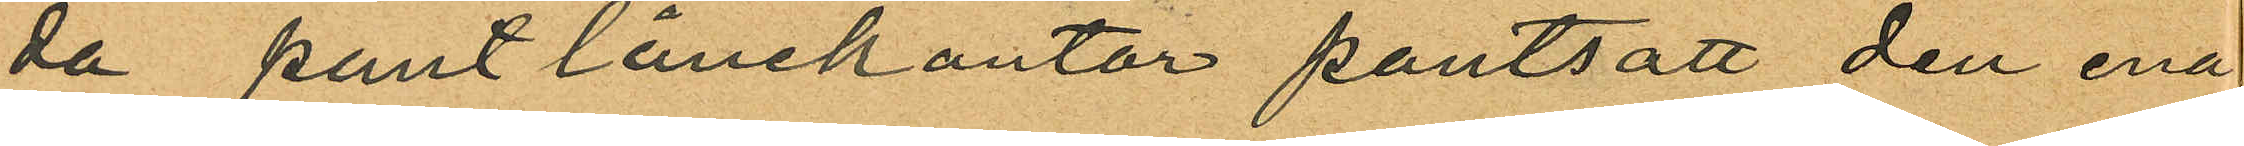da pantlånekontor pantsatt den ena
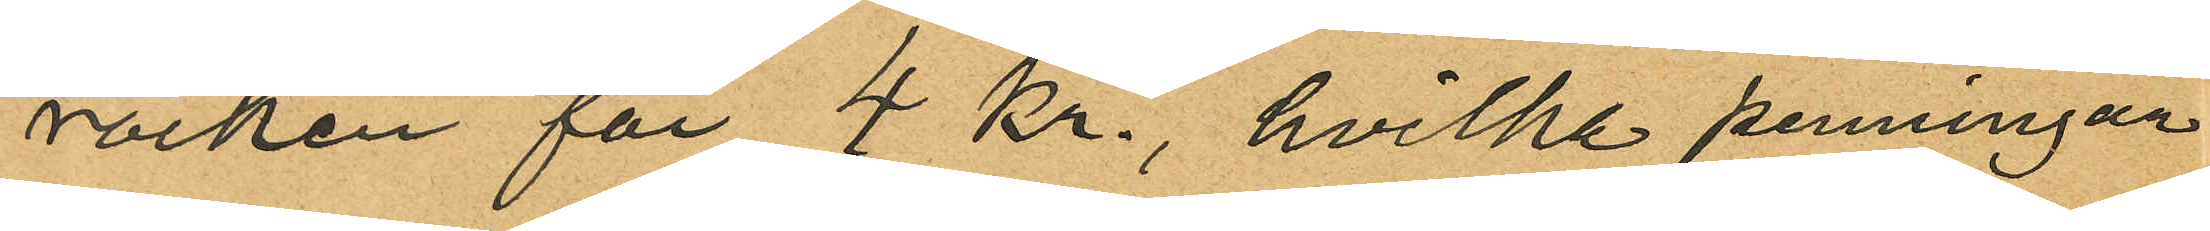rocken för 4 kr., hvilka penningar
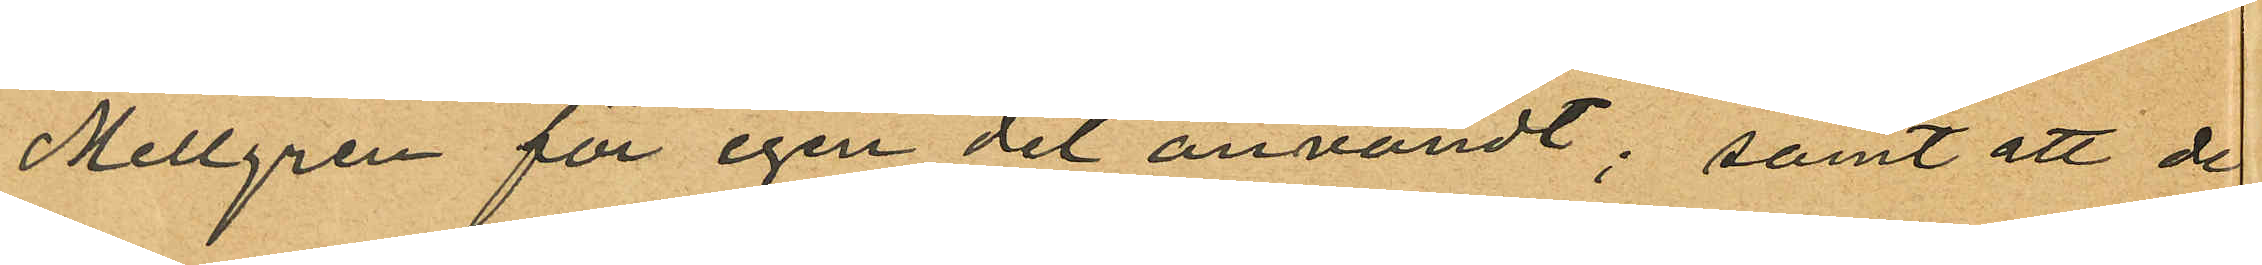Mellgren för egen del användt; samt att de
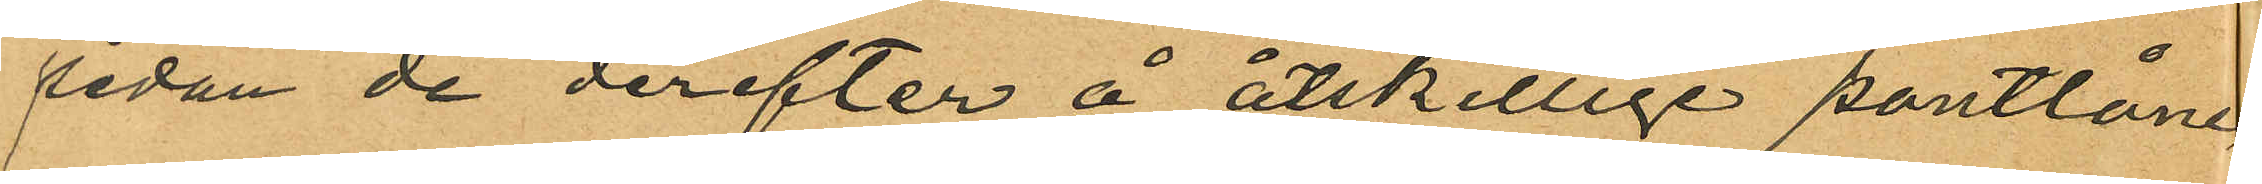sedan de derefter å åtskillige pantlåne
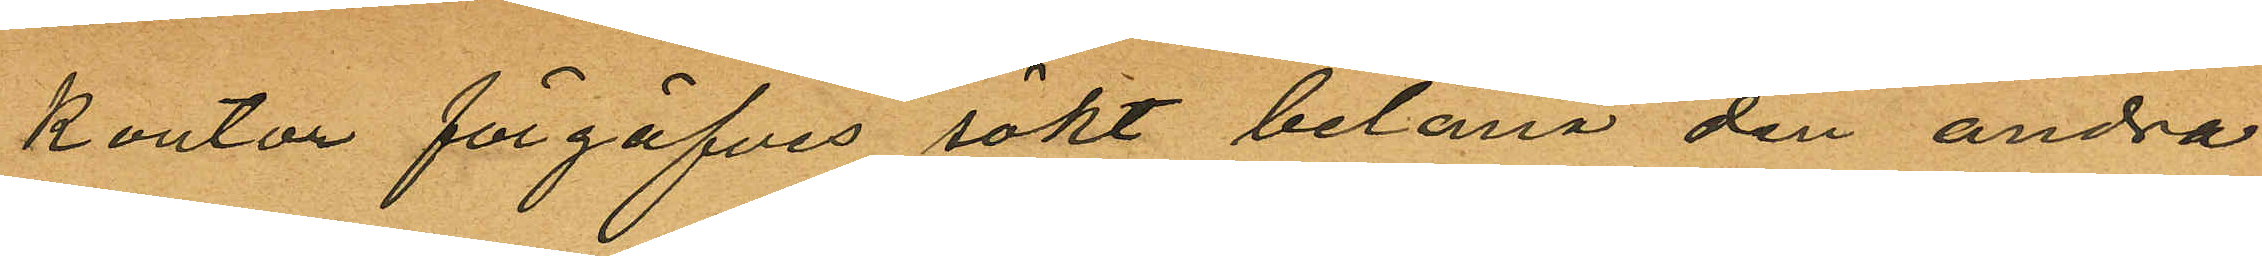kontor förgäfves sökt belåna den andra
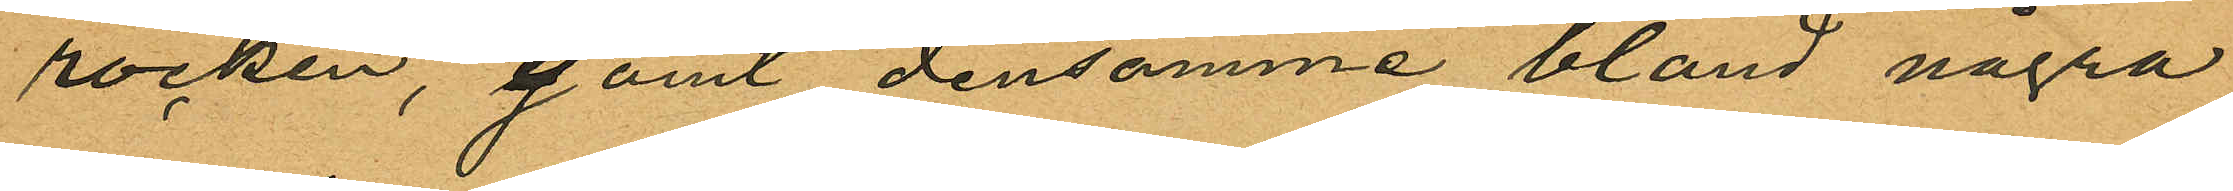rocken, gömt densamma bland några
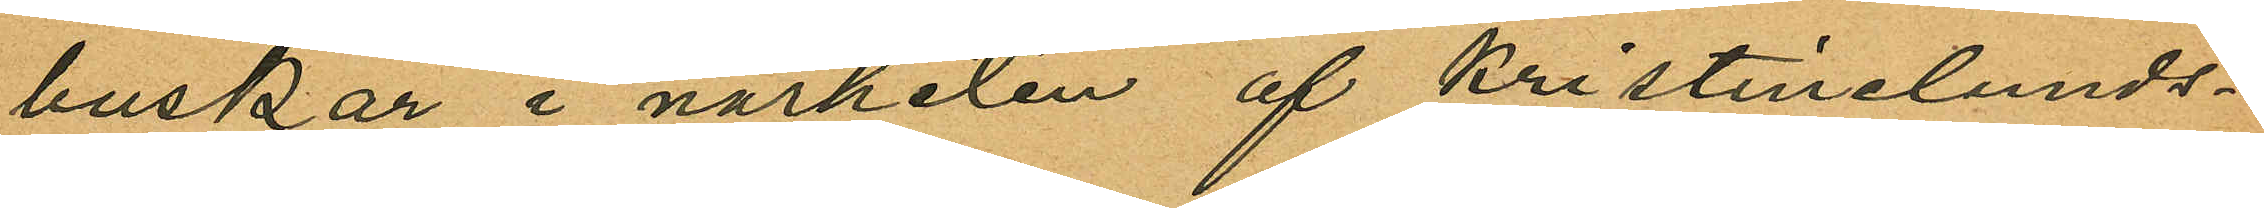buskar i närheten af Kristinelunds¬
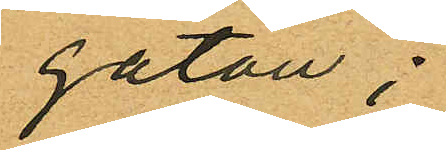gatan;
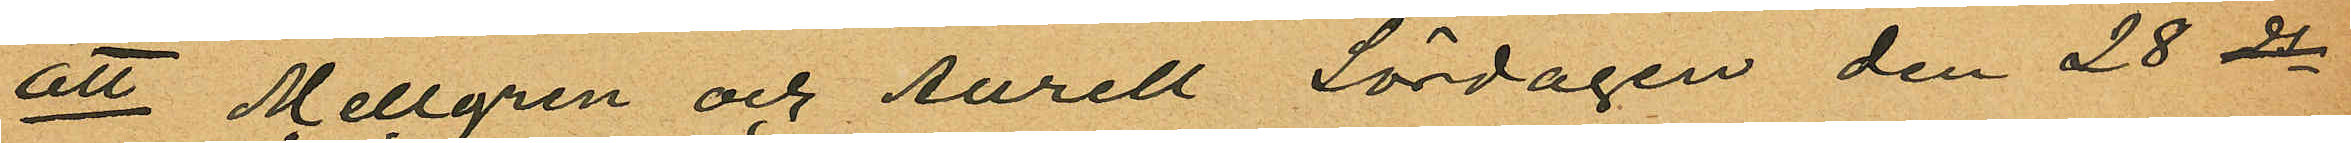att Mellgren och Aurell Lördagen den 28 ds
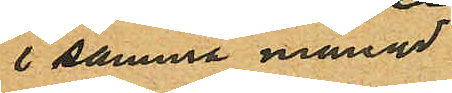i samma månad
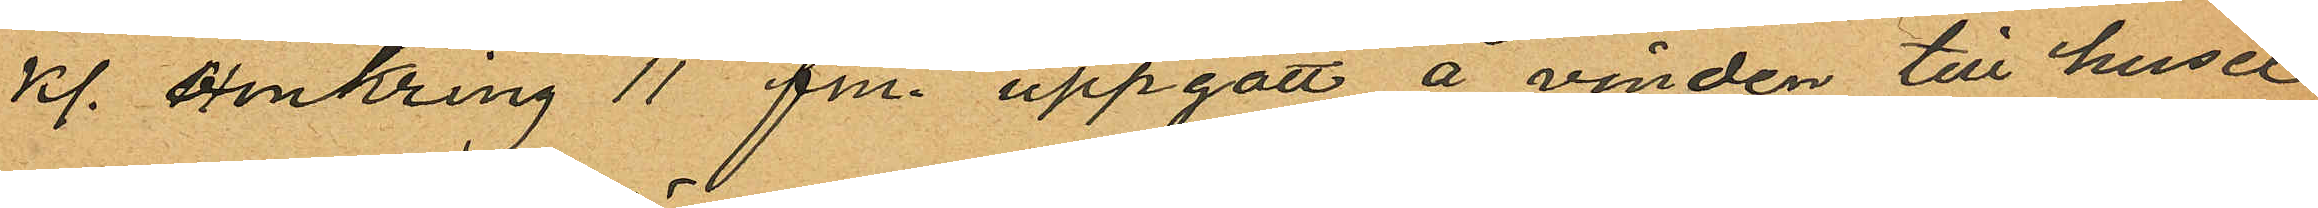kl. omkring 11 fm. uppgått å vinden till huset
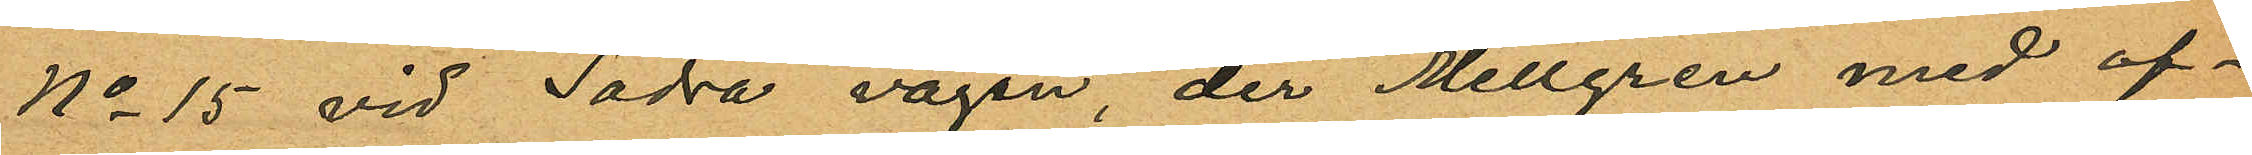No 15 vid Södra vägen, der Mellgren med of¬
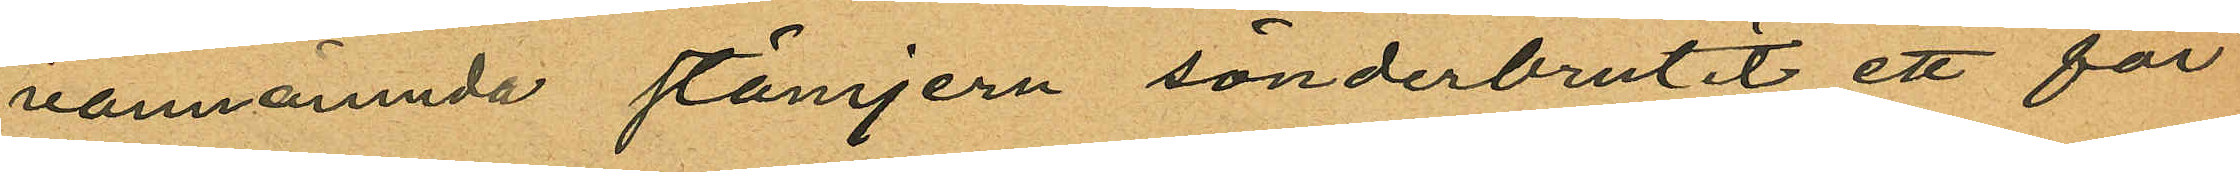vannämnda stämjern sönderbrutit ett för
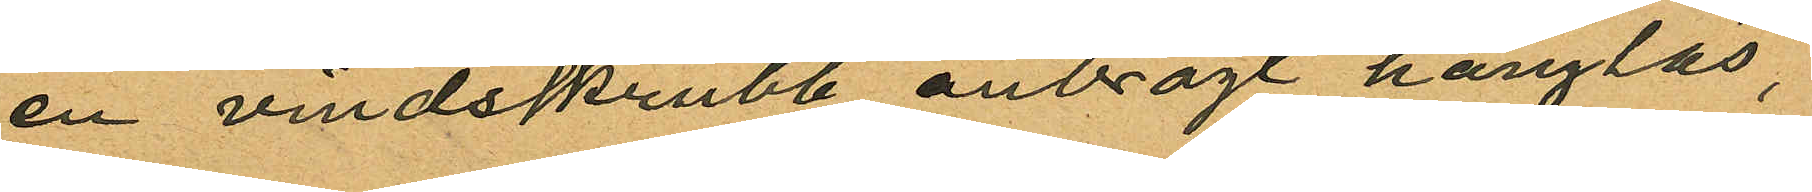en vindsskrubb anbragt hänglås,
